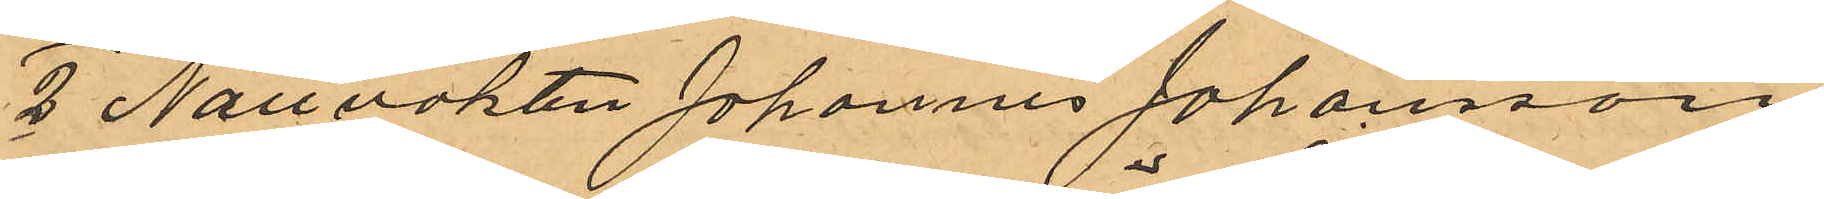2 Nattvakten Johannes Johansson
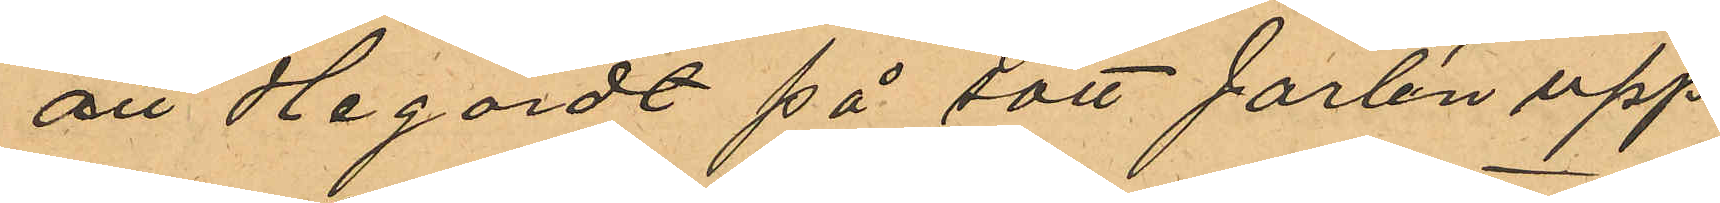att Hagardt på sätt Jarlén upp¬
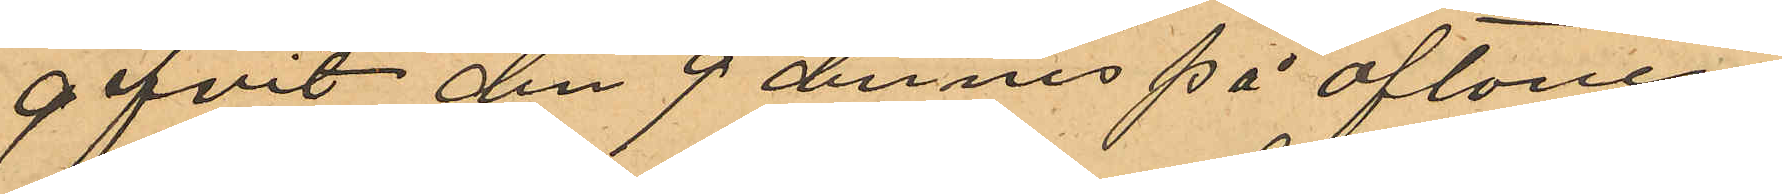gifvit den 9 dennes på aftonen
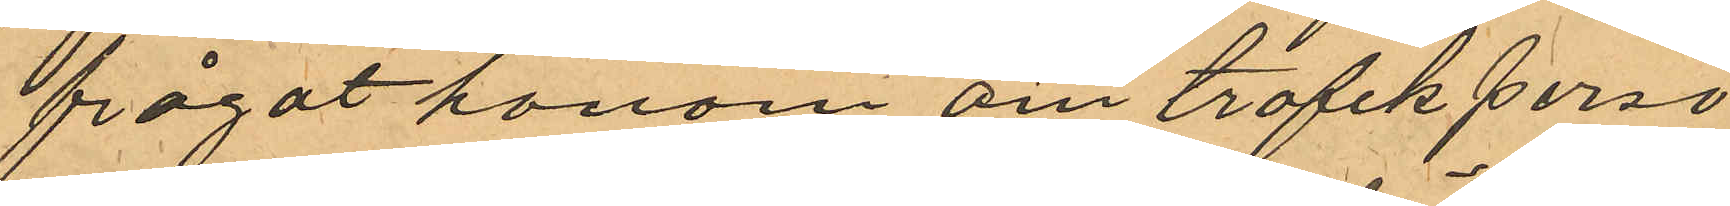frågat honom om trafikperso¬
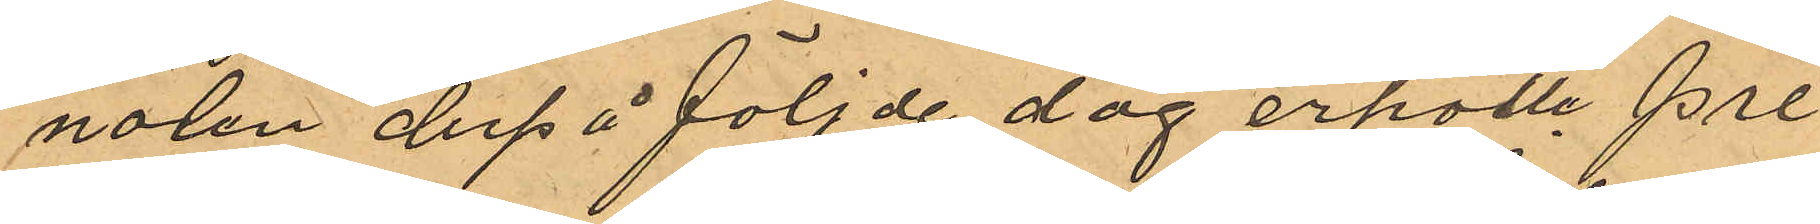nalen derpå följde dag erhölle pre¬
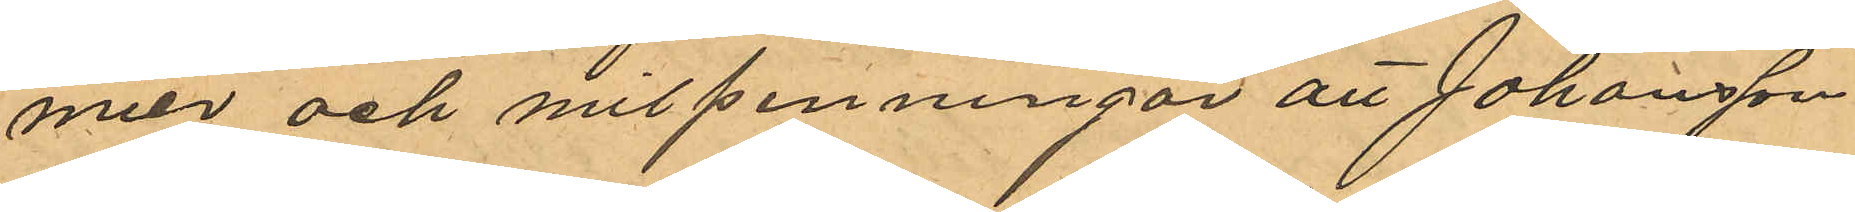mier och milpenningar att Johansson
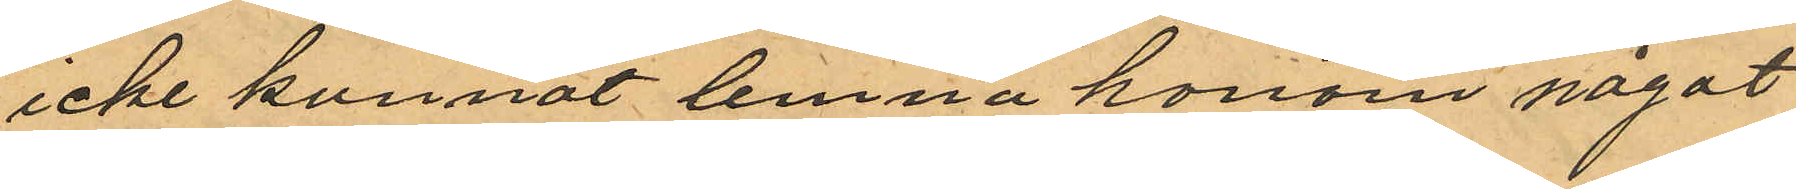icke kunnat lemna honom något
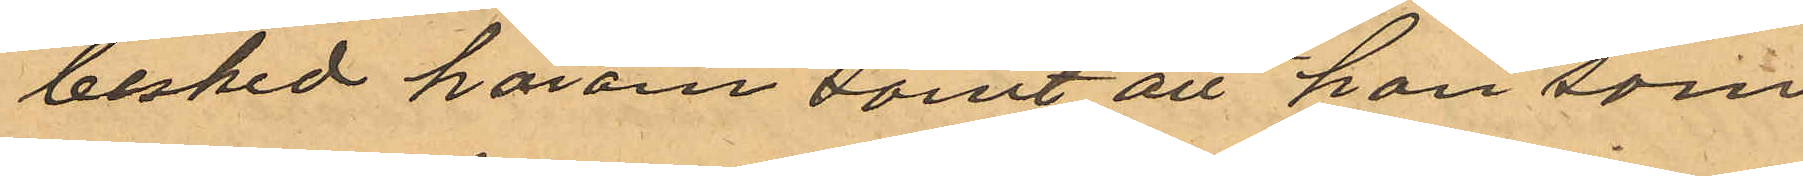besked härom samt att han som
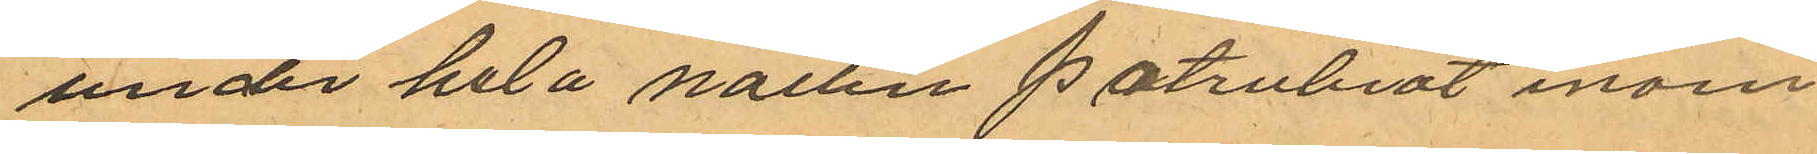under hela natten patrulerat inom
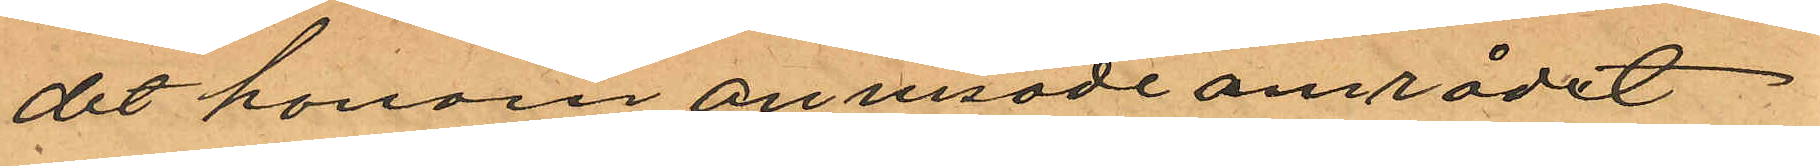det honom anvisade området
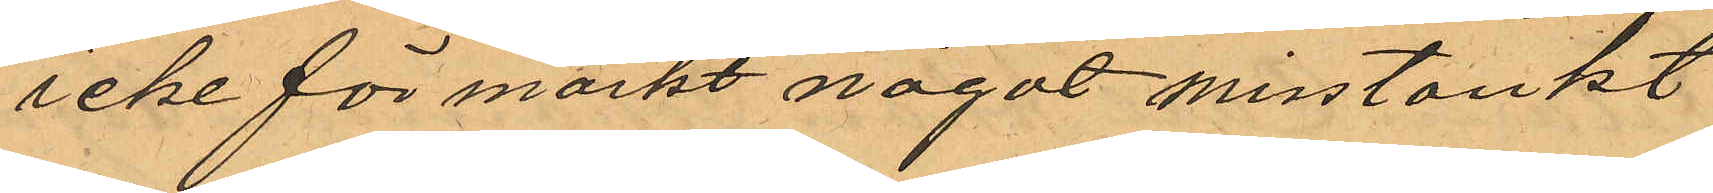icke för märkt något misstänkt
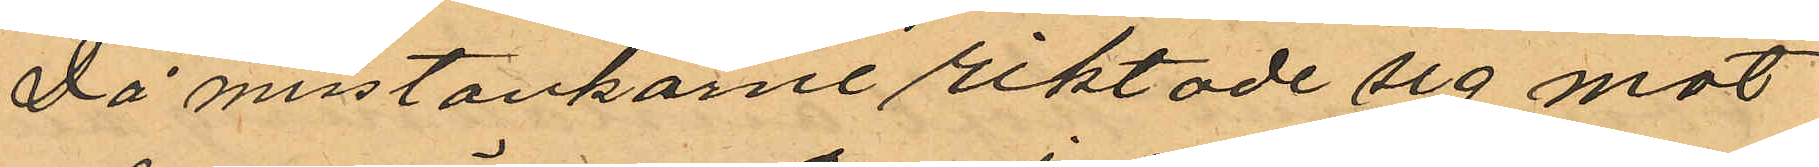Då misstankarne riktade sig mot
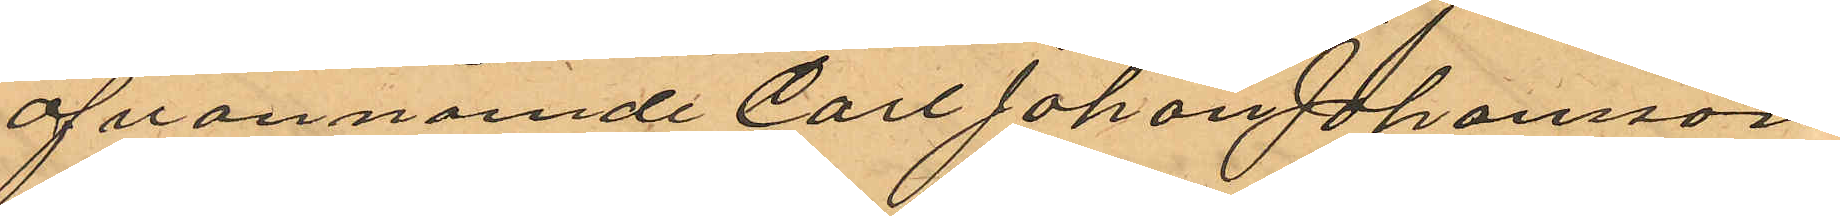ofvannämde Carl Johan Johansson
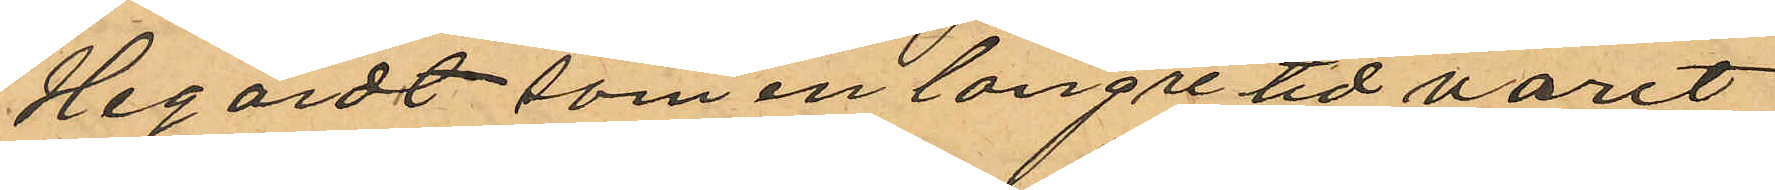Hegardt som en längre tid varit
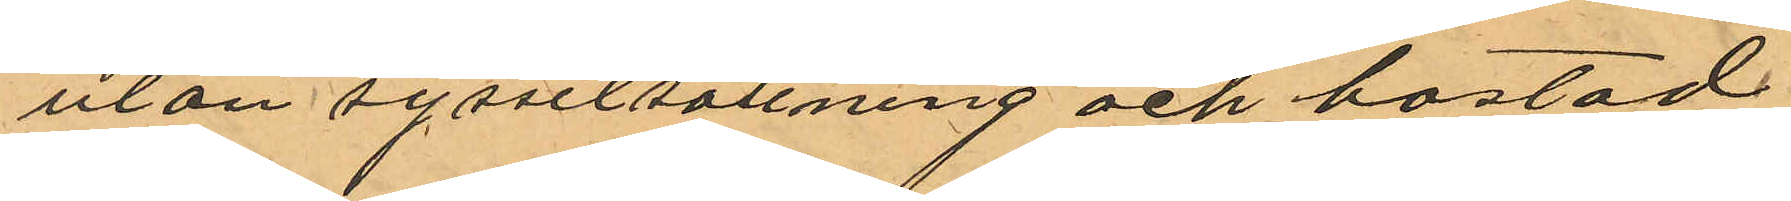utan sysselsättning och bostad
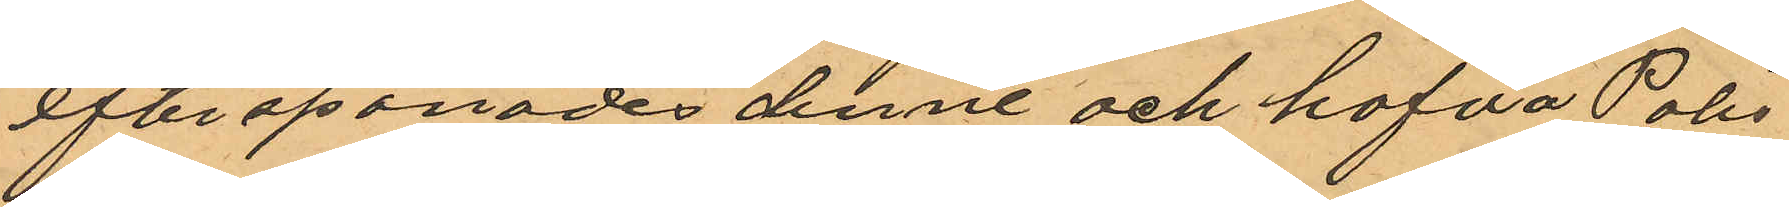efterspanades denne och hafva Polis¬
